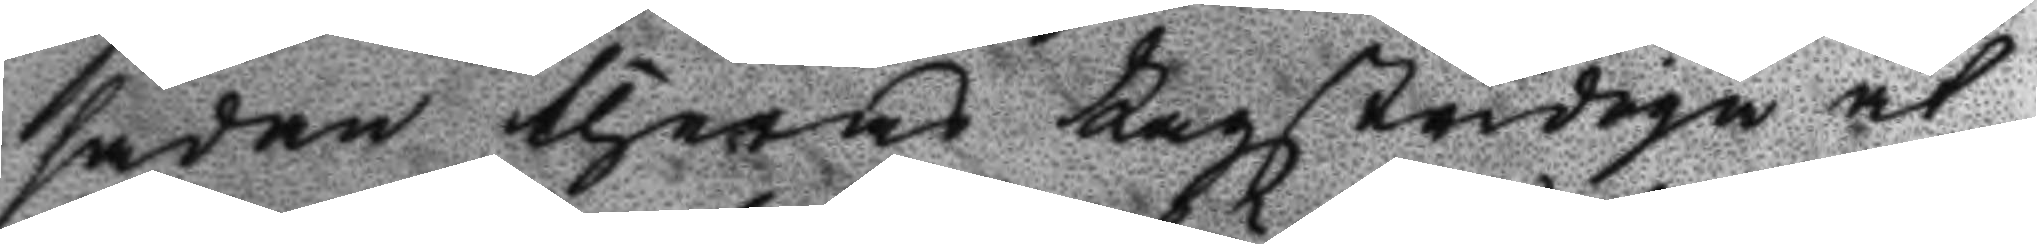sådan theras Lagstridiga åt¬
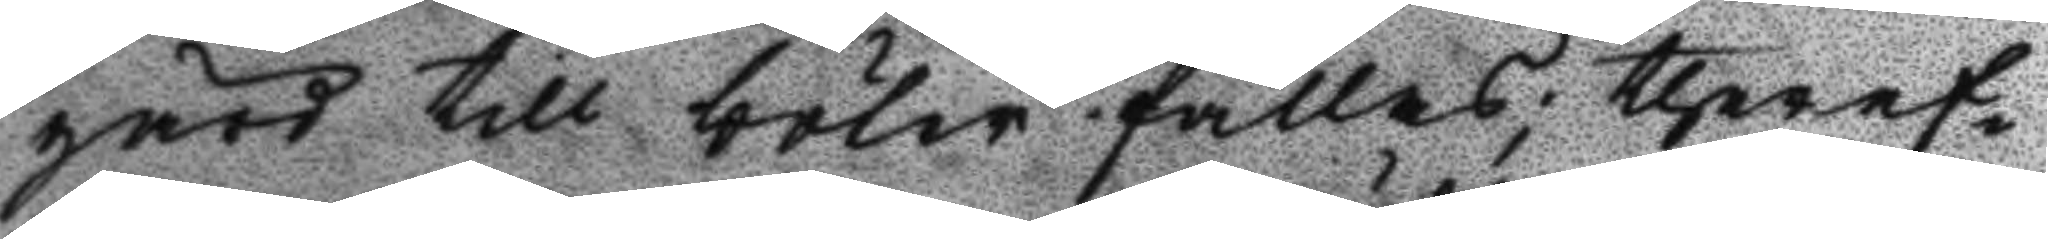gärd till böter fällas; theref¬
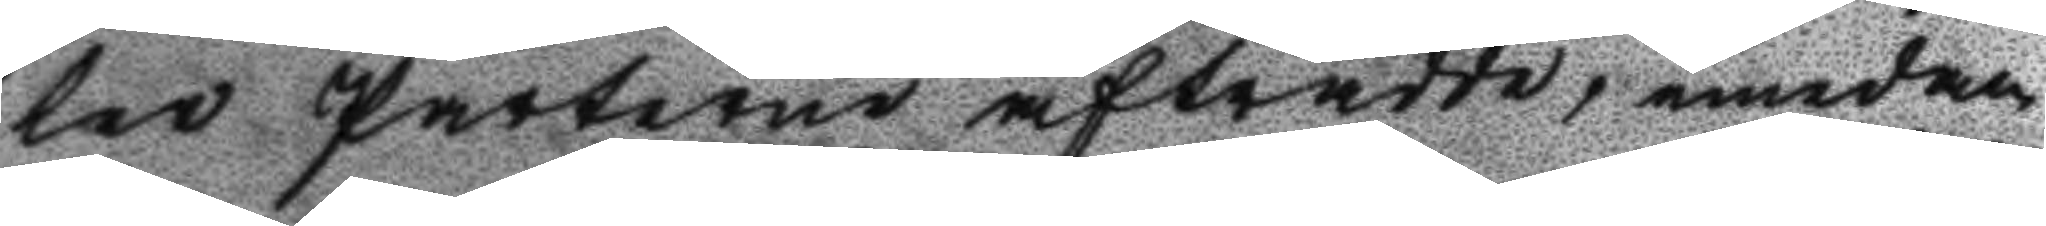ter Parterne afträdde, emedan
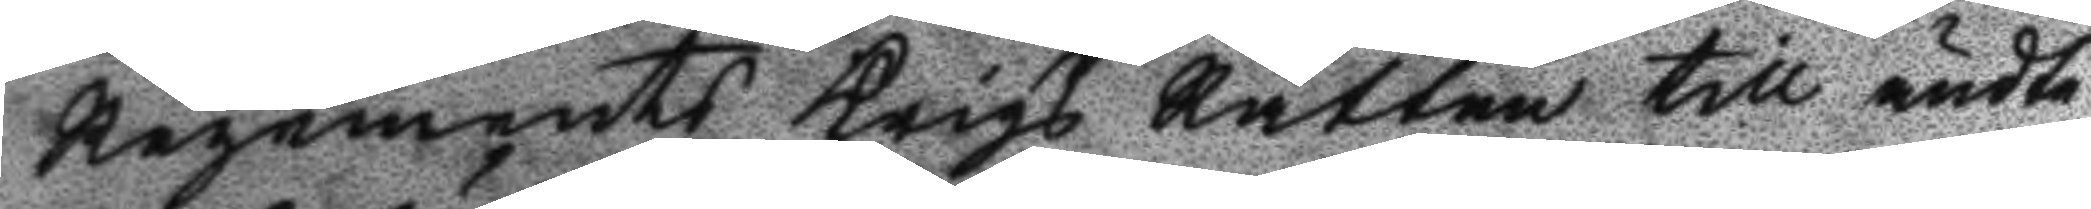Regements Krigs Rätten till ändte¬
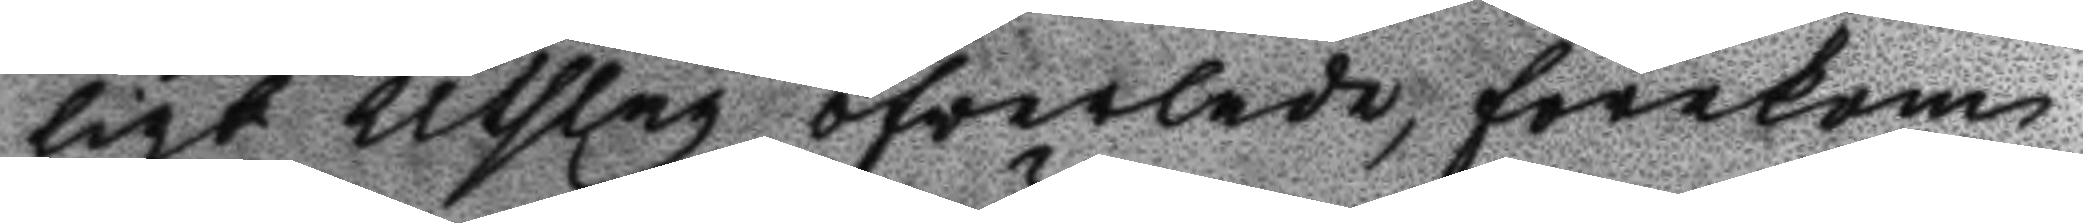ligt Utslag öfverlade, förekom
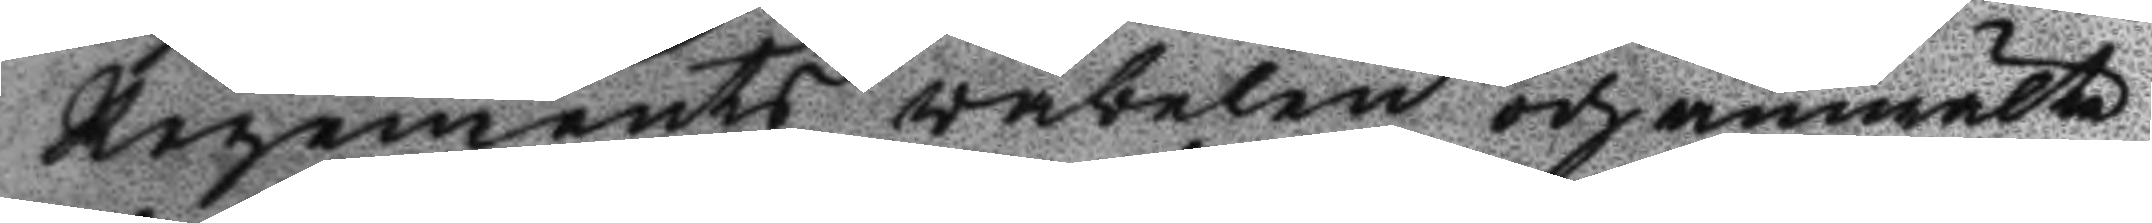Regements väbelen och anmälte
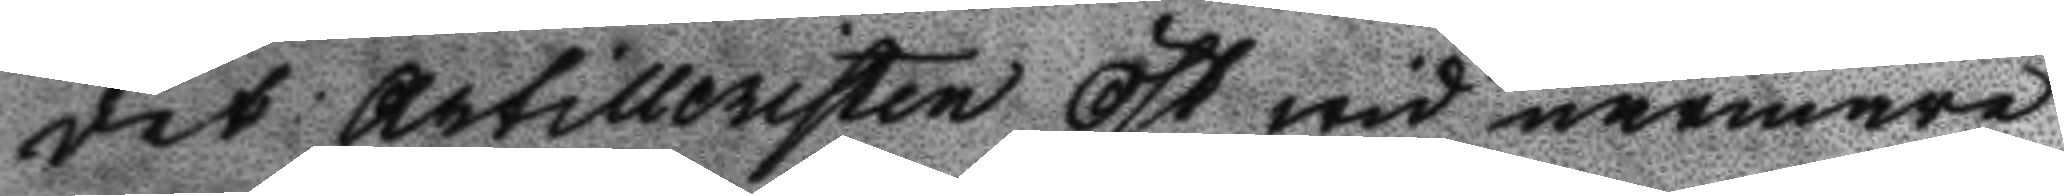det Artilleristen öst wid närmare
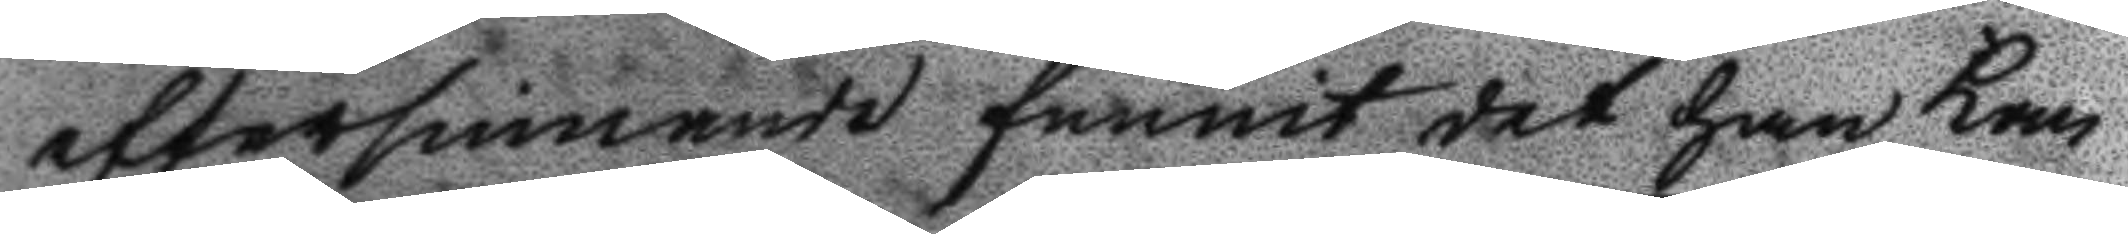eftersinnande funnit det han kan¬
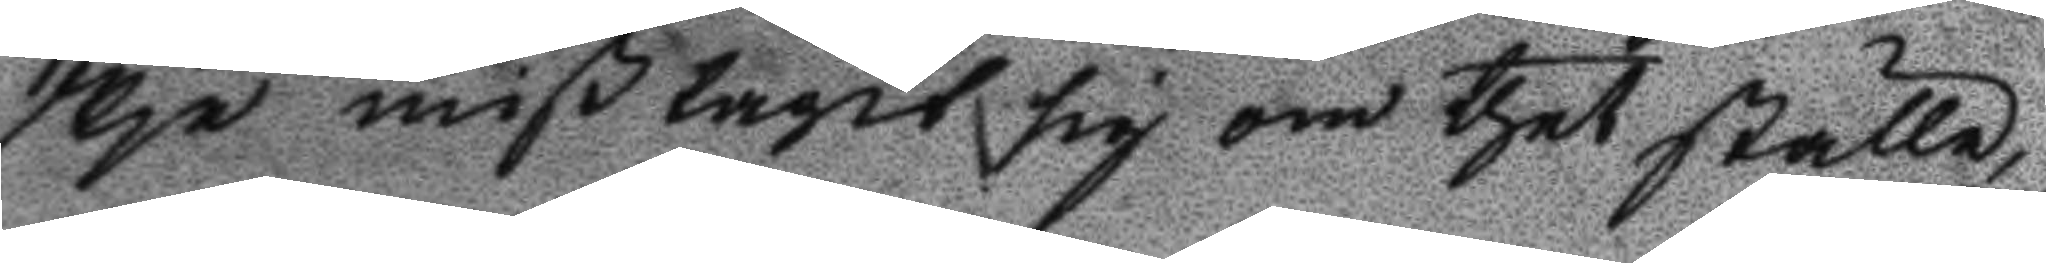skje mißtagit sig om thet ställe
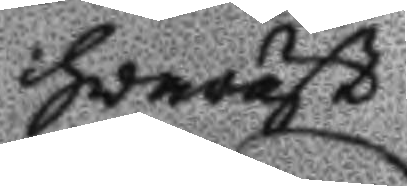hvaräst
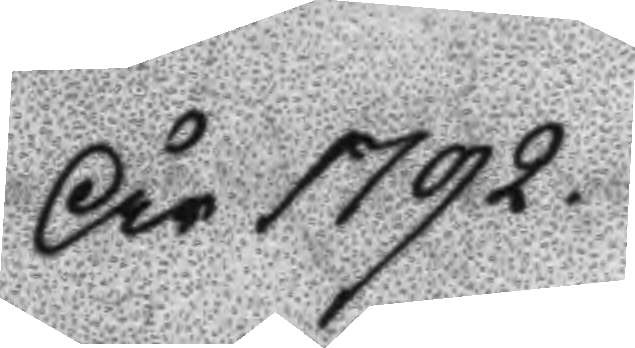År 1792.
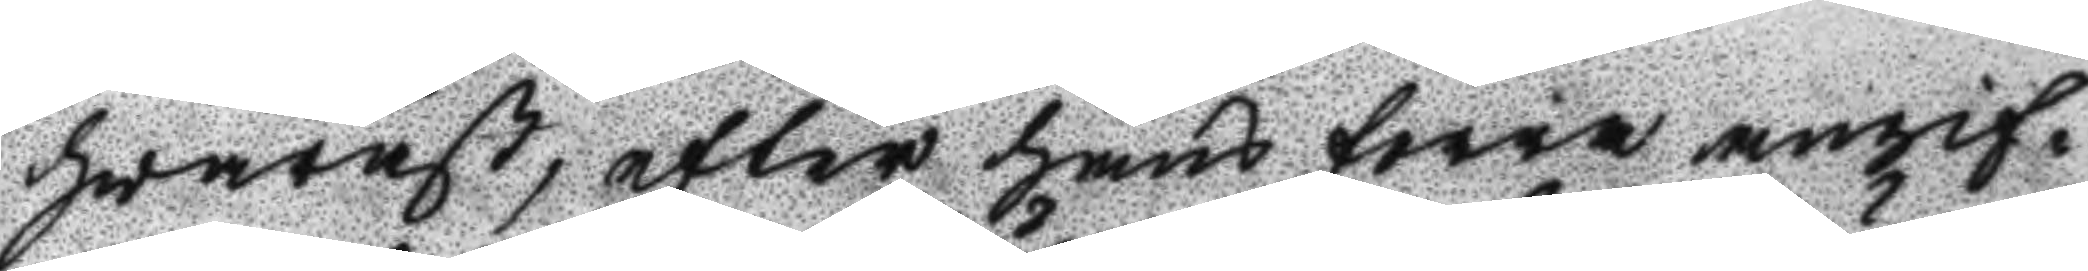hvaräst, efter hans forra angif¬
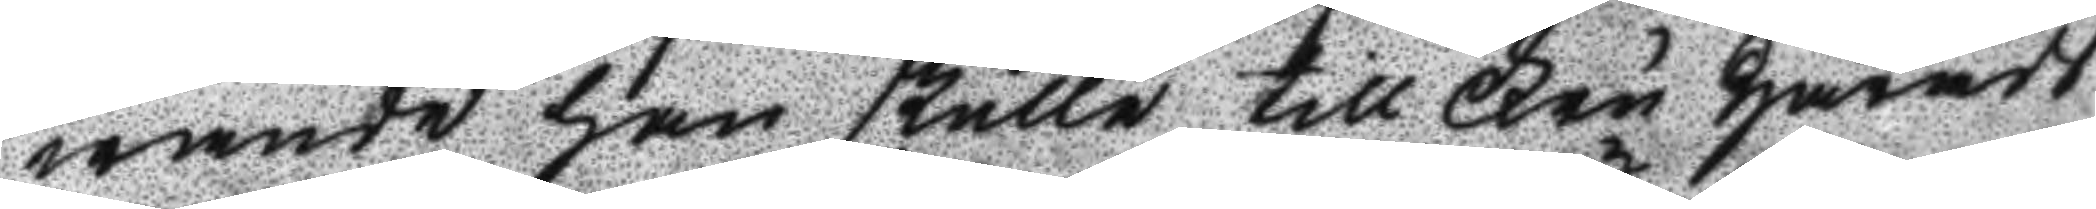wande han skulle till Fru Härads
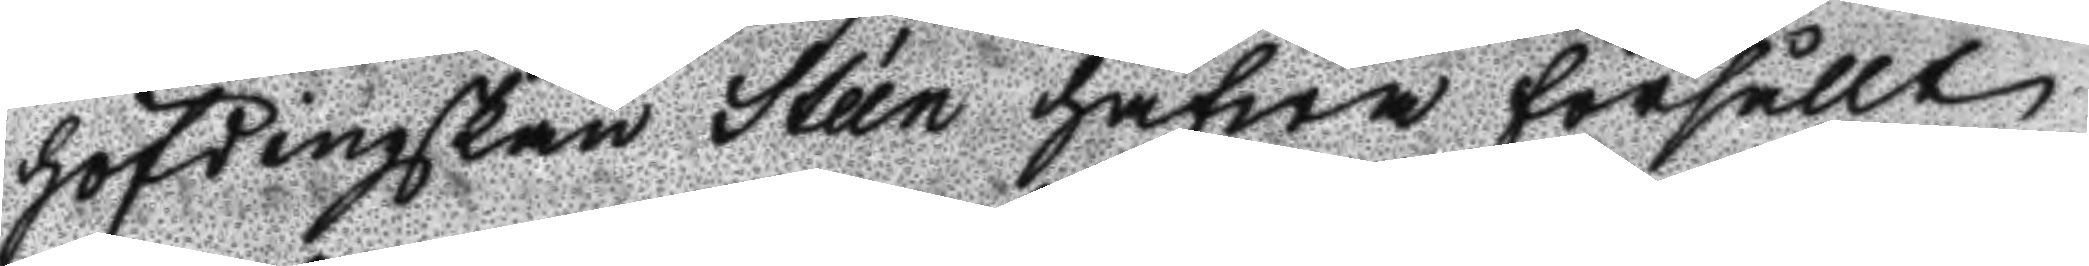höfdinskan Stéen hafwa försållt
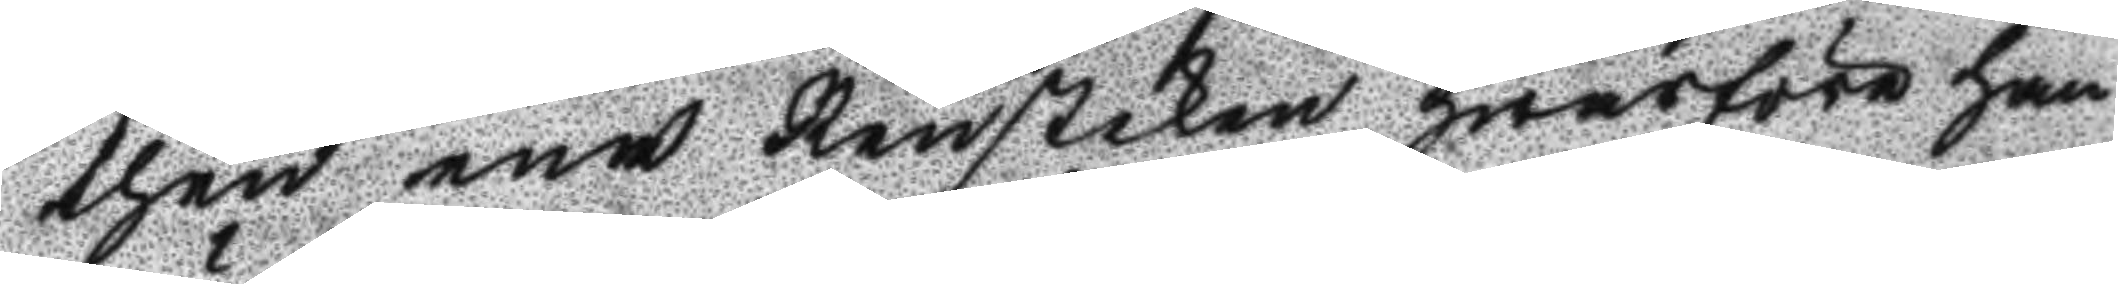then ena Rensteken hwarföre han
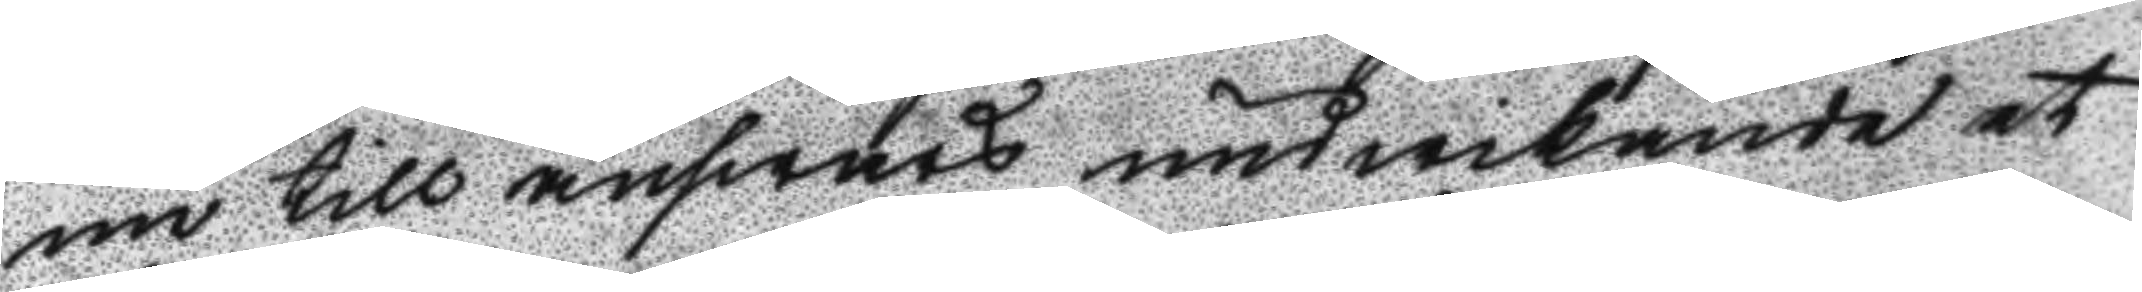nu till answars undwikande et
